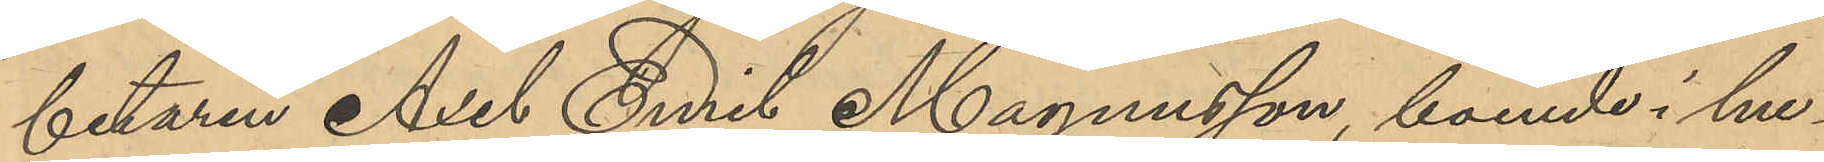betaren Axel Emil Magnusson, boende i hu¬
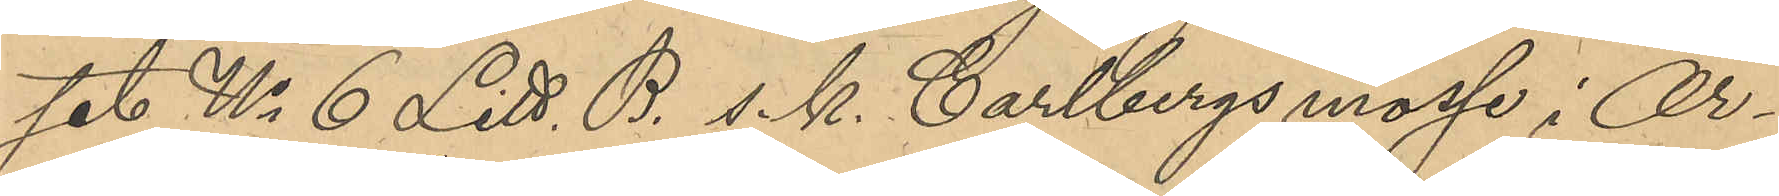set No 6 Litt. B s. k. Carlbergsmosse i Ör¬
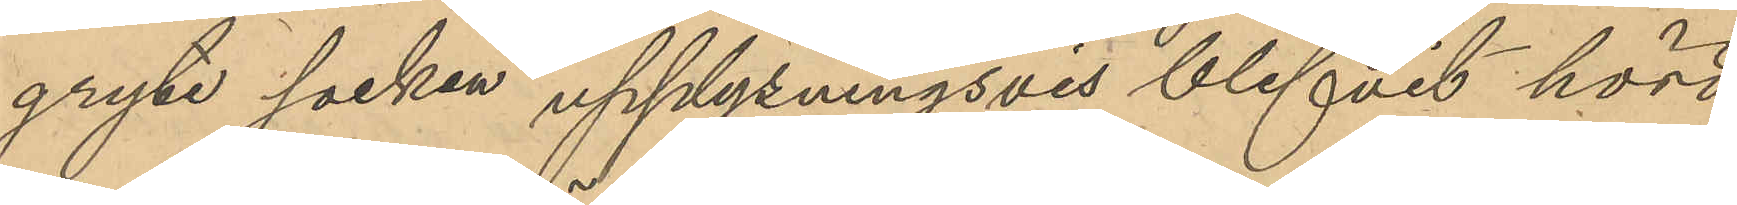gryte socken upplysningsvis blifvit hörd,
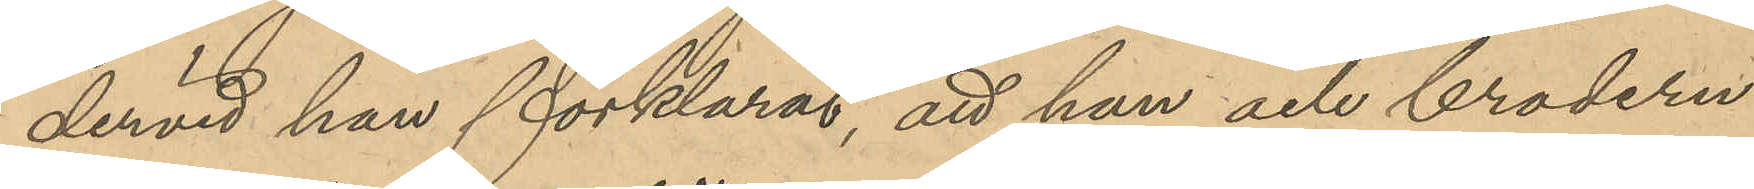dervid han förklarat, att han och brodern
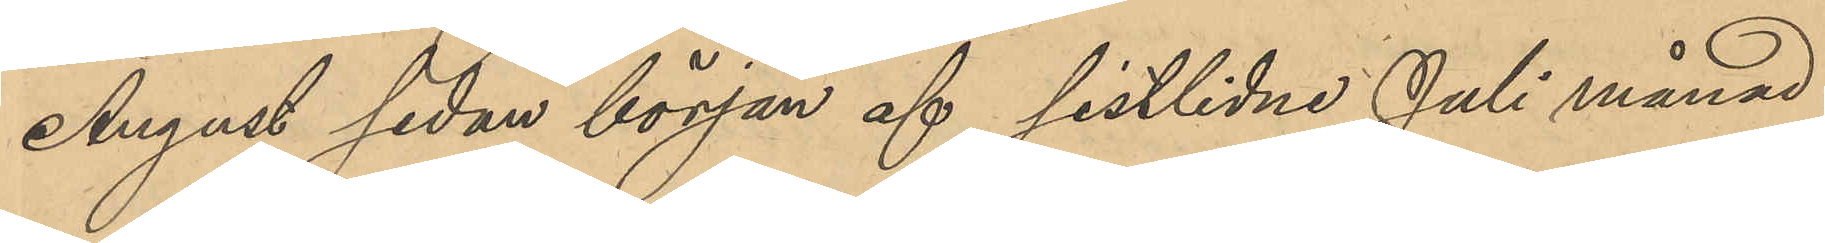August sedan början af sistlidne Juli månad
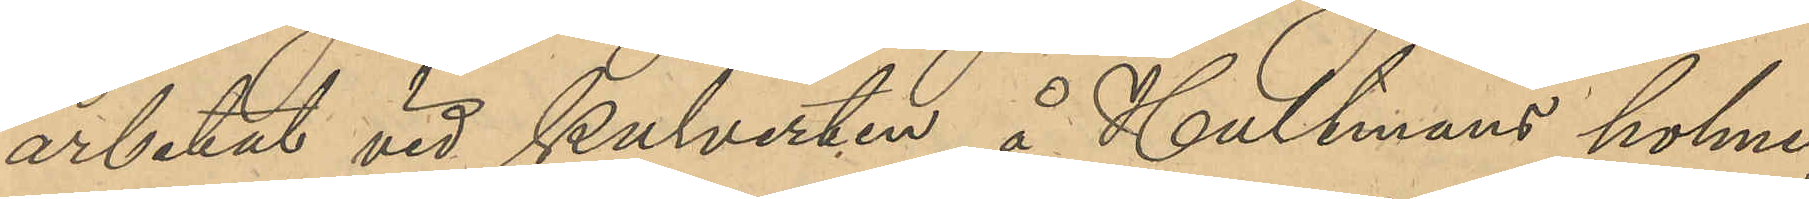arbetat vid kulverken å Hultmans holme;
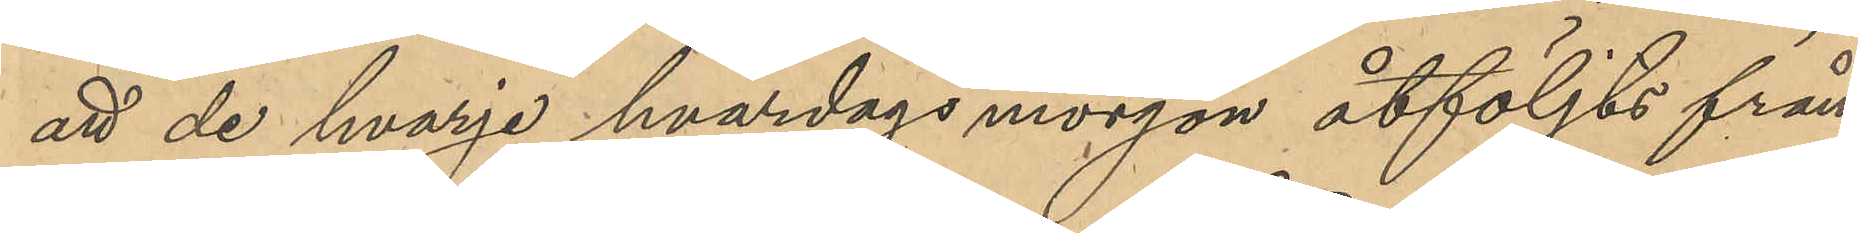att de hvarje hvardags morgon åtföljts från
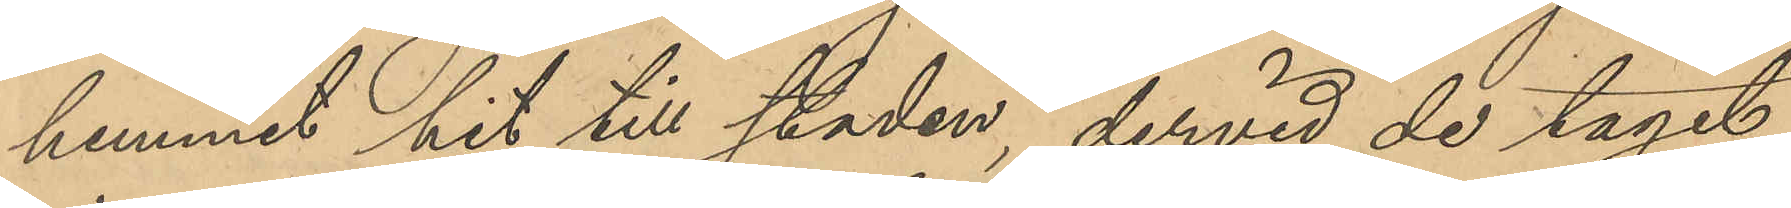hemmet hit till staden, dervid de tagit
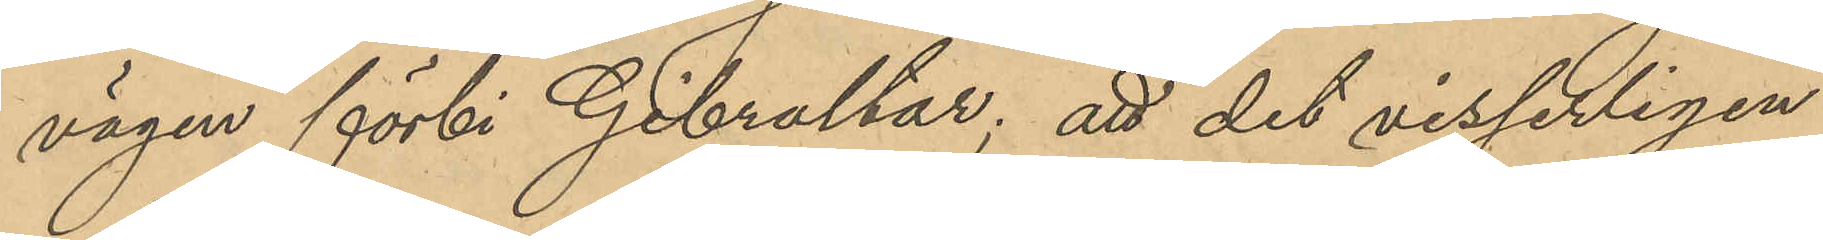vägen förbi Gibraltar; att det visserligen
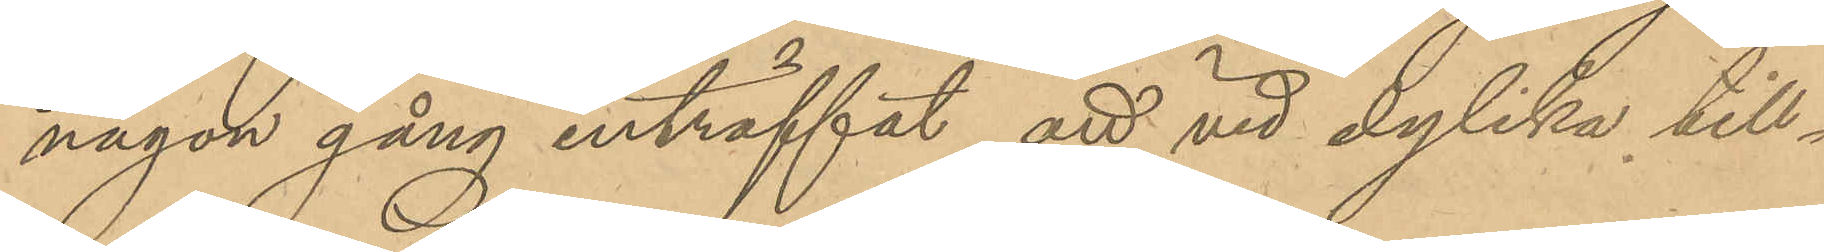någon gång inträffat att vid dylika till¬
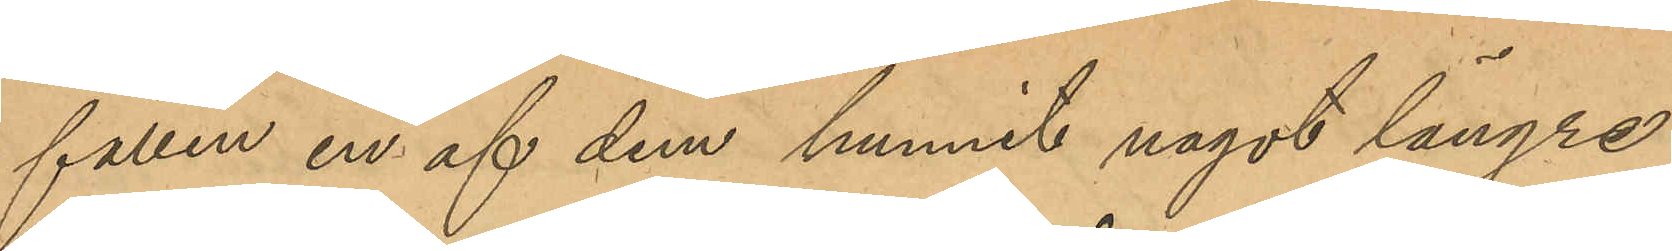fällen en af dem hunnit något längre
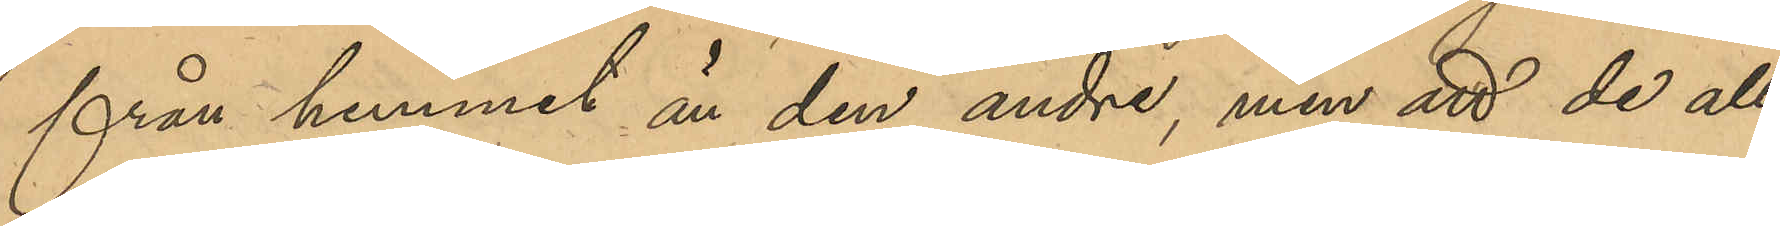från hemmet än den andre, men att de all¬
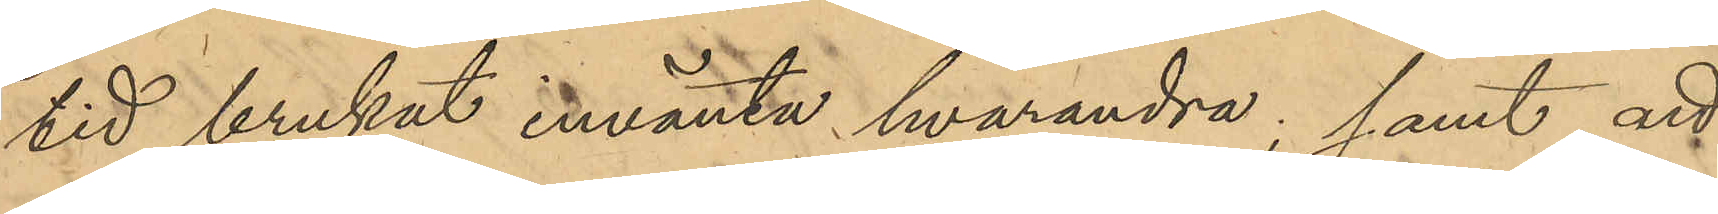tid brukat invänta hvarandra; samt att
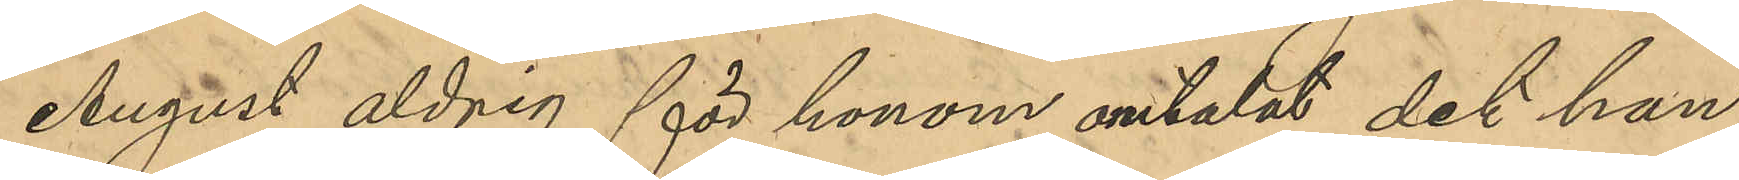August aldrig för honom omtalat det han
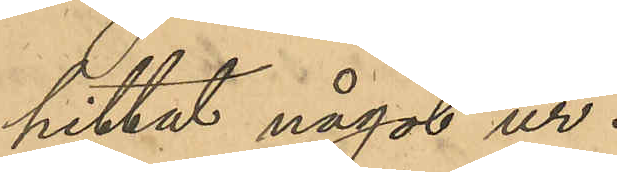hittat något ur.
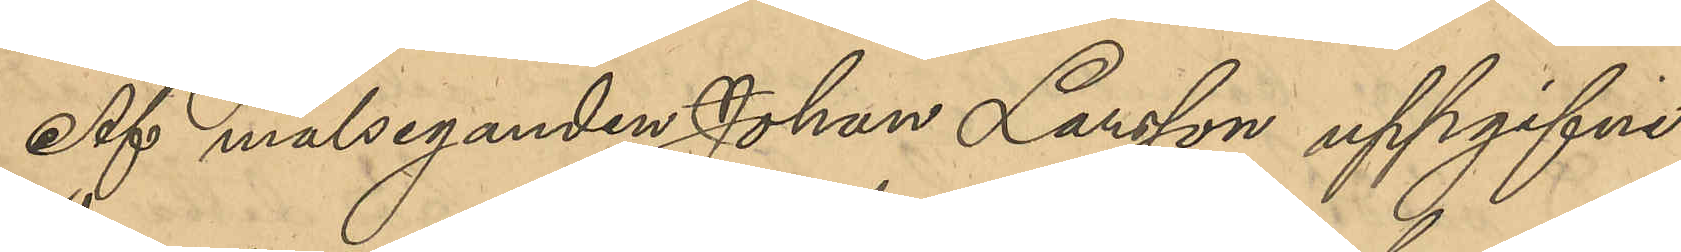Af målseganden Johan Larsson uppgifne
